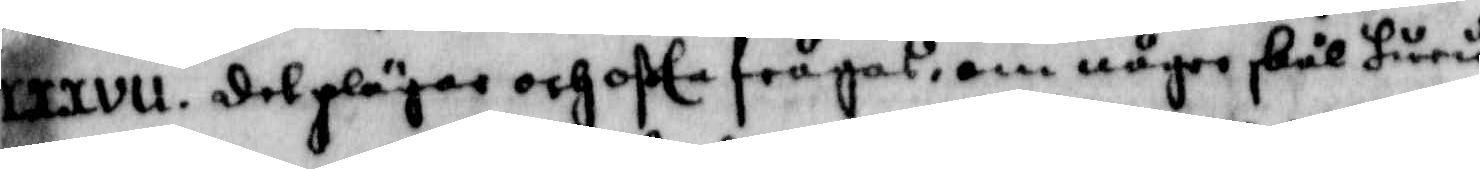XXXVII. det plägar och ofta frågas, om någre skäl huru
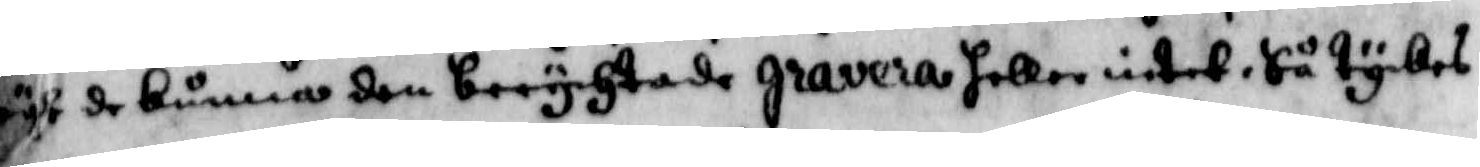högt de kunna den berychtade gravera heller intet, Så tyckes
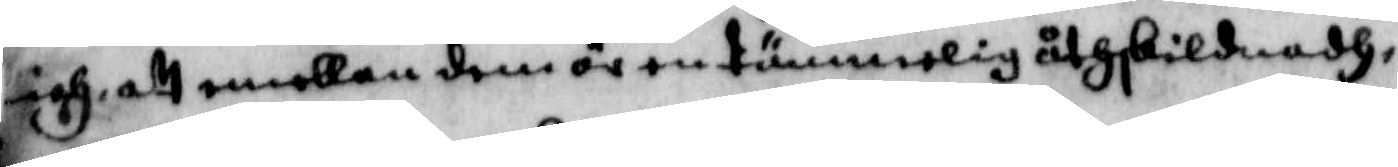iagh att emellan dem är en tämmelig åthskillnadh,
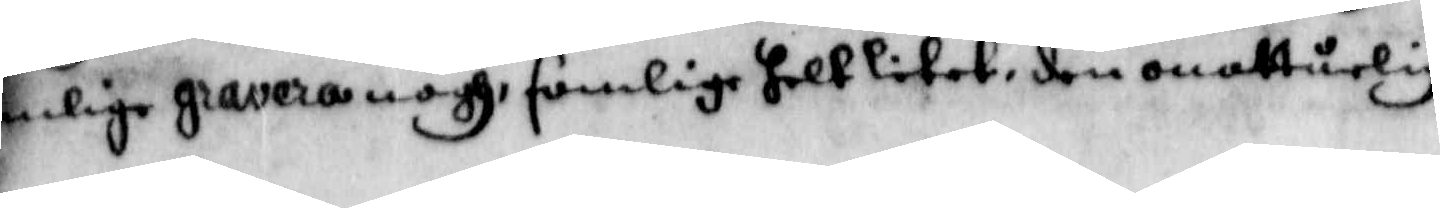änlige gravera nogh, somlige helt litet, den onatturlige
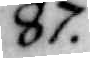87.
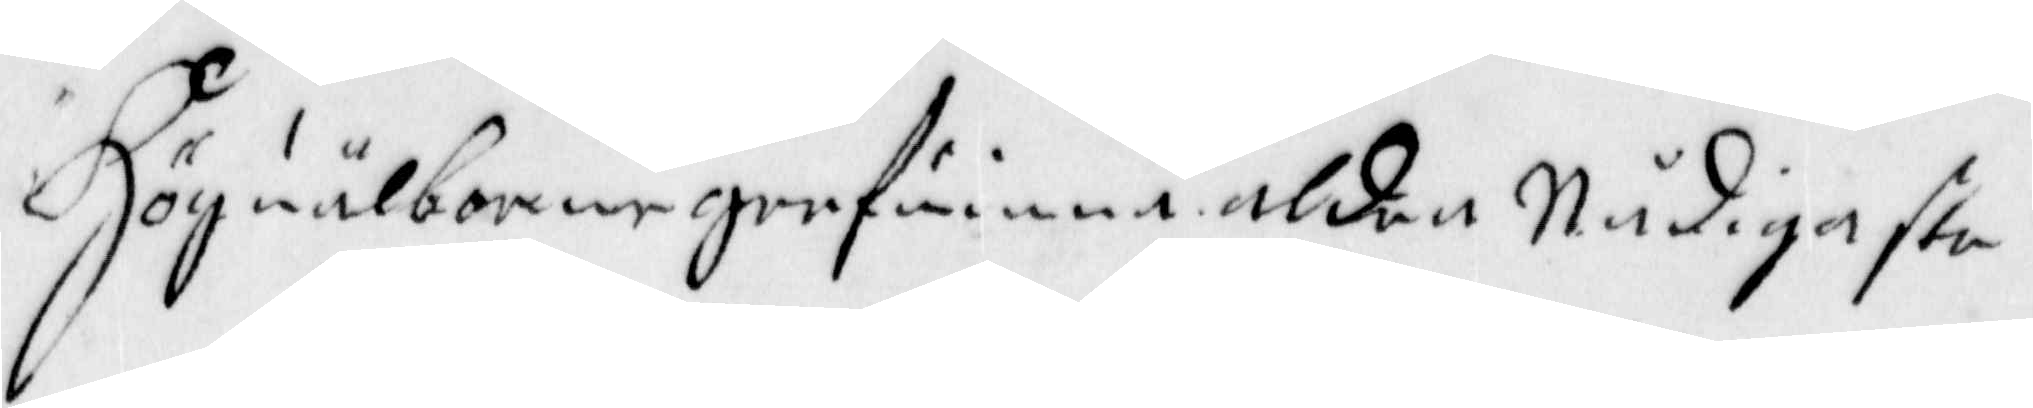Högwälborne grefwinna alden Nådiga sto
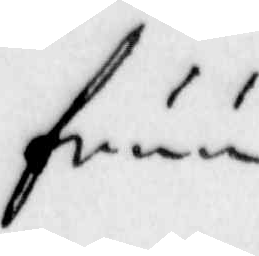fruu
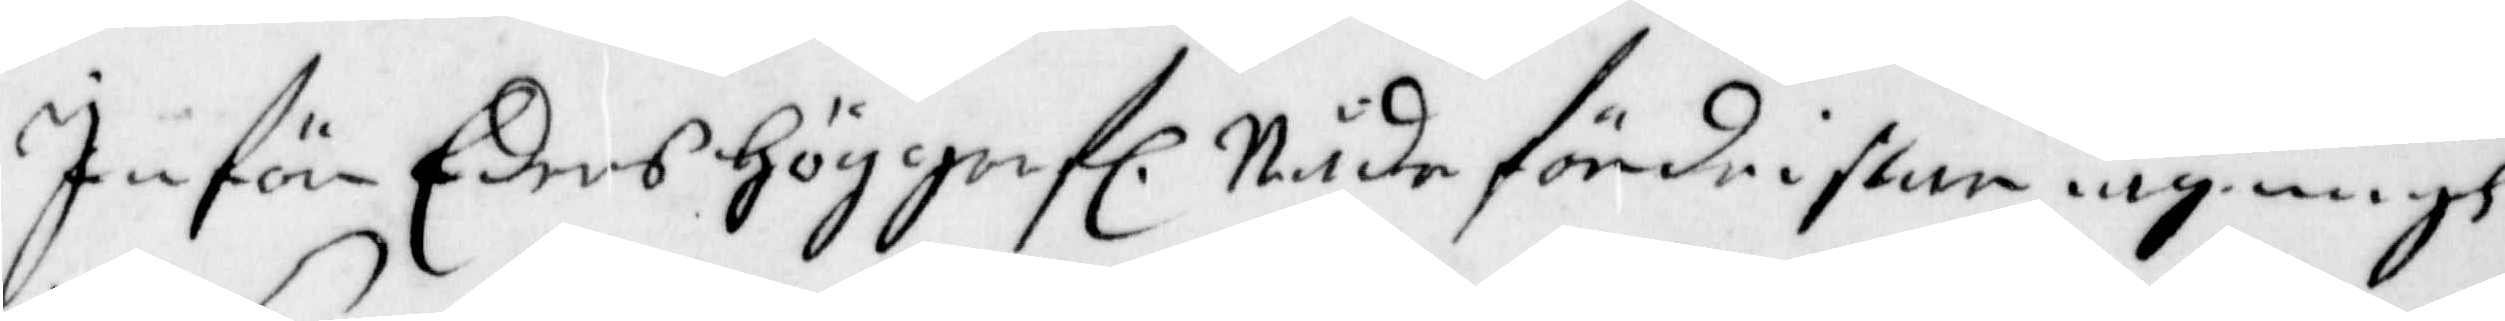Inför Eders Höggrefl. Nåde fördristar iag migh
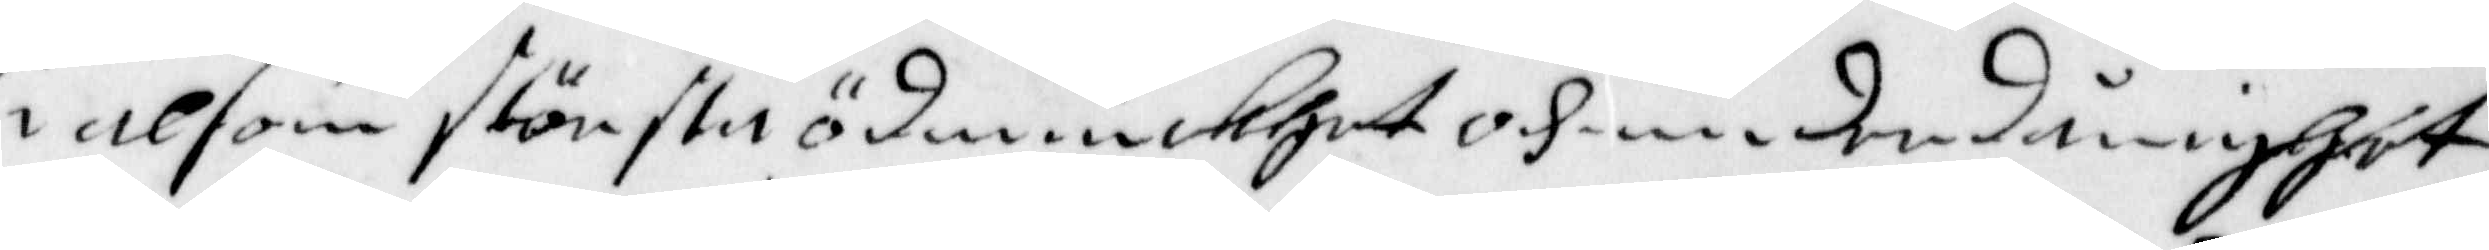i alsom största ödmiukhet och underdånighet
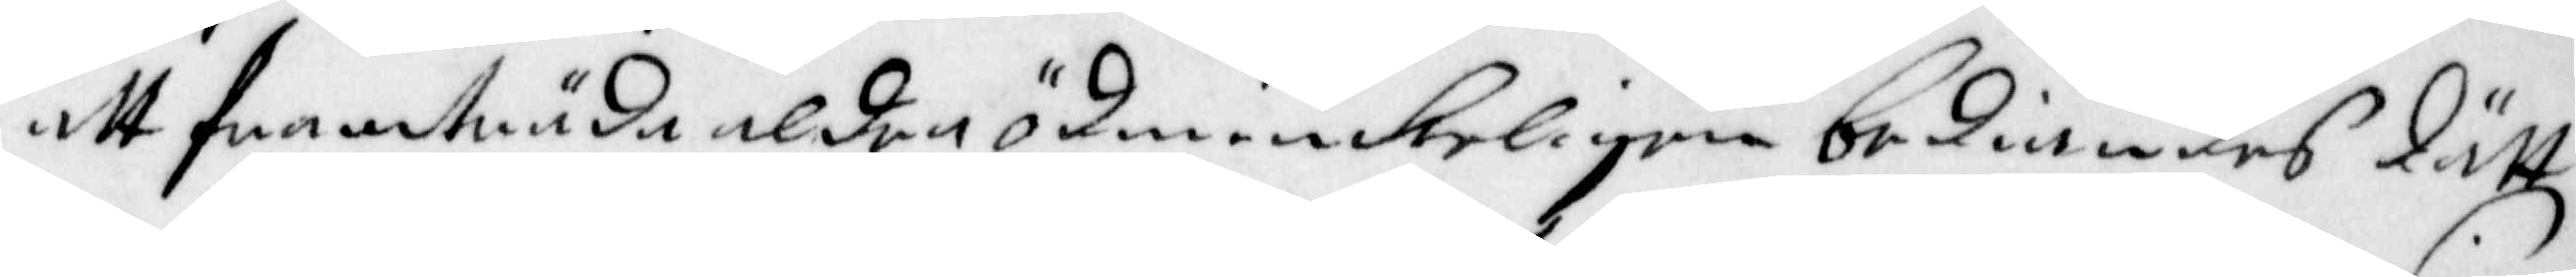att framträda aldra ödmiukeligen bediandes dätt
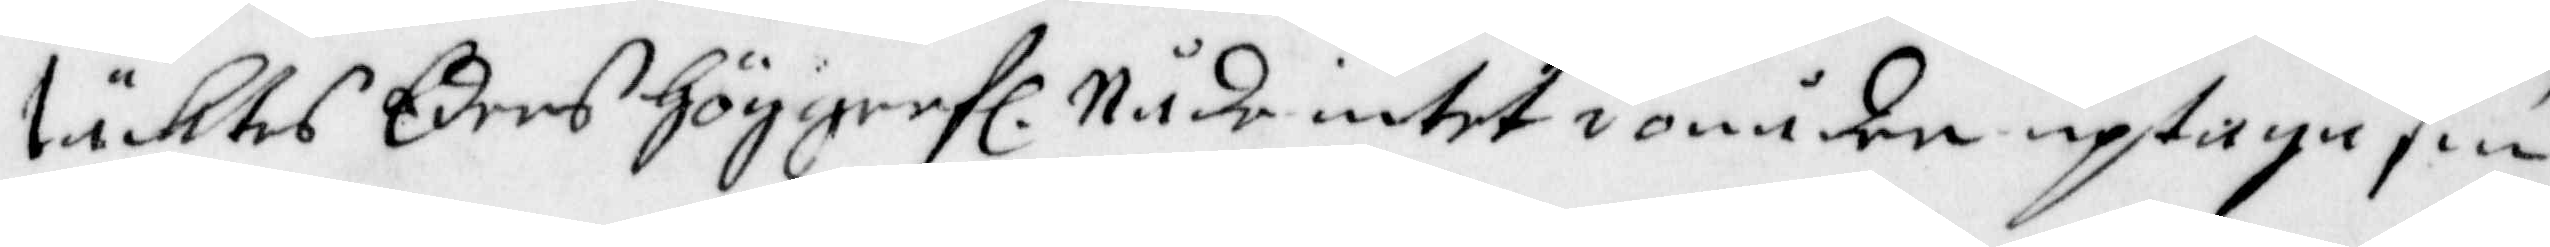täcktes Eders Höggrefl. Nåde intet i onåden uptaga sin
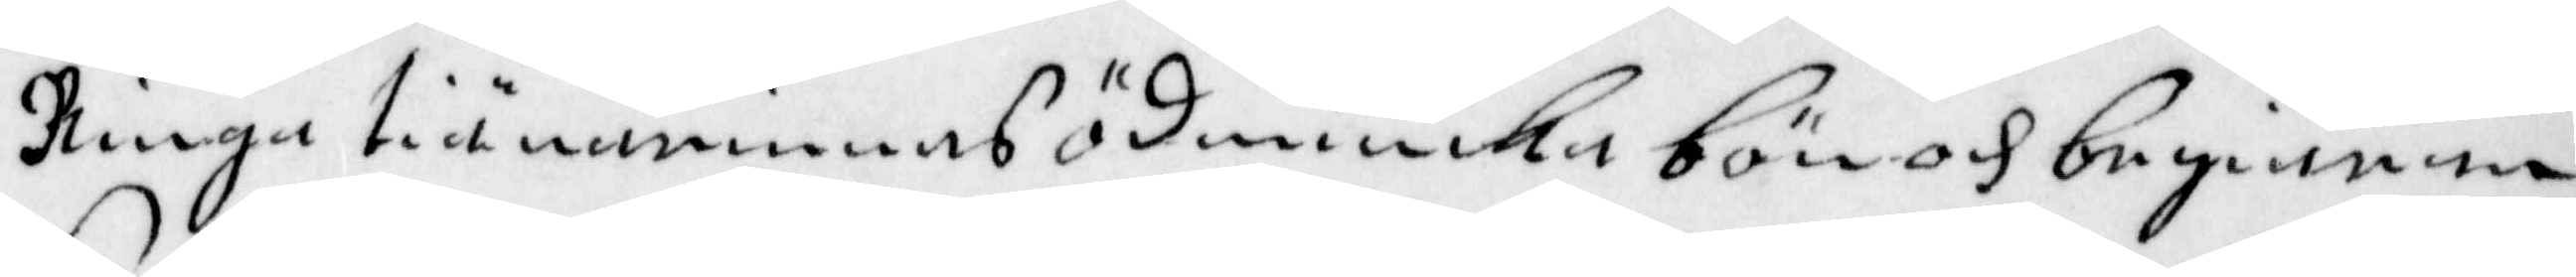Ringa tiänarinnas ödmiuka bön och begiäran
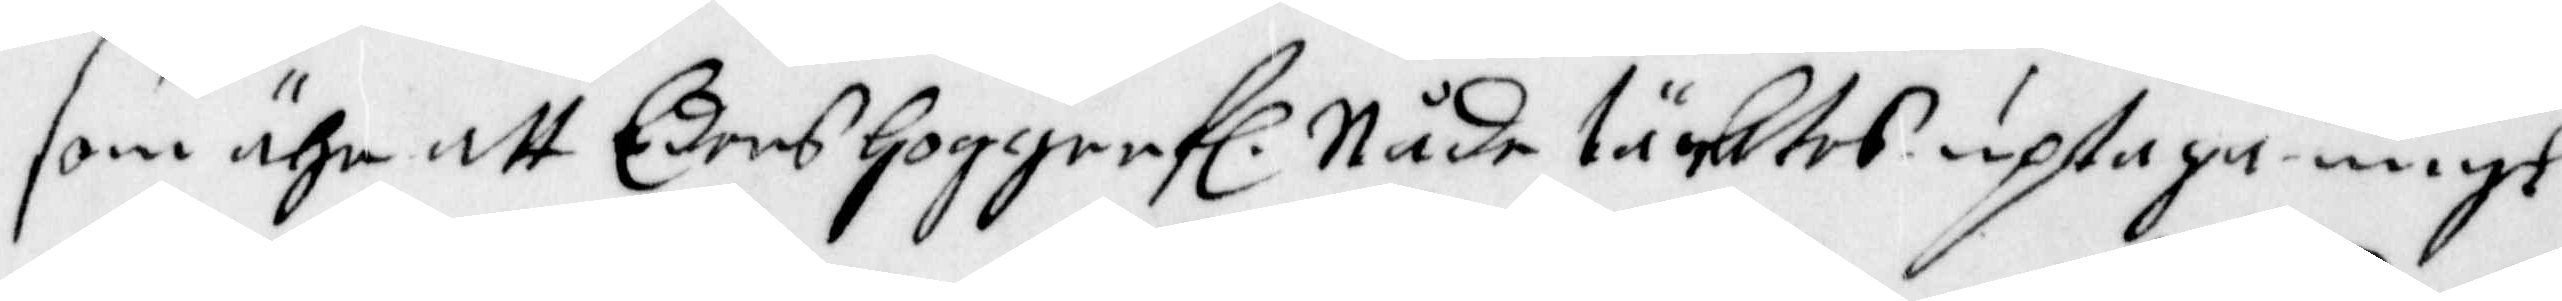som ähr att Eders Hoggrefl. Nåde täcktes uptaga migh
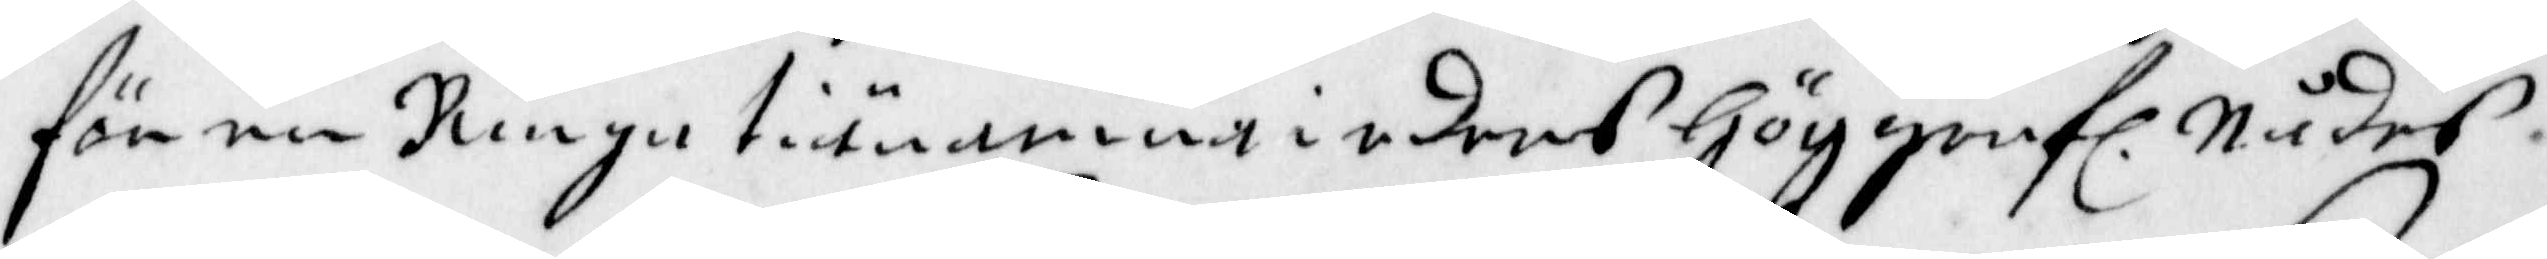för en Ringa tiänarinna i eders Höggrefl. Nådes
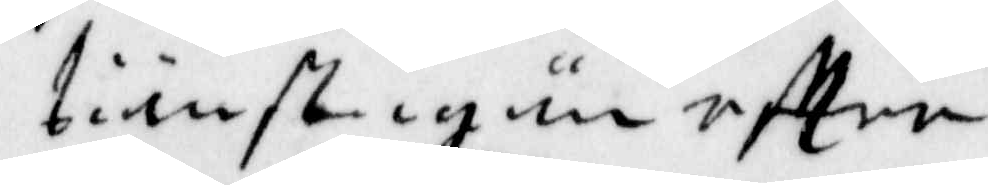tiänst igän eftter
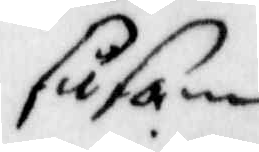såsom
